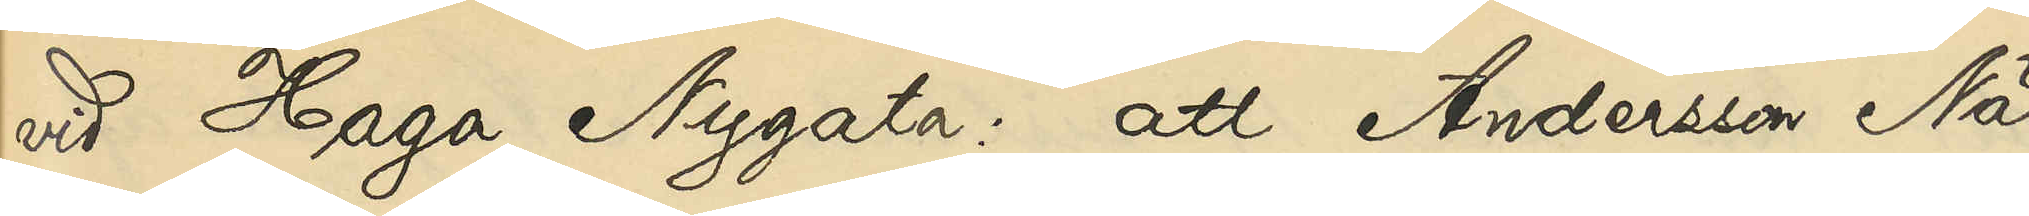vid Haga Nygata: att Andersson När
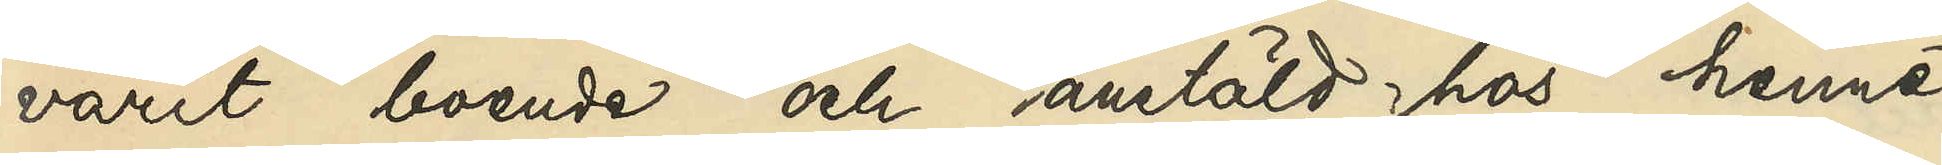varit boende och anstäld hos henne
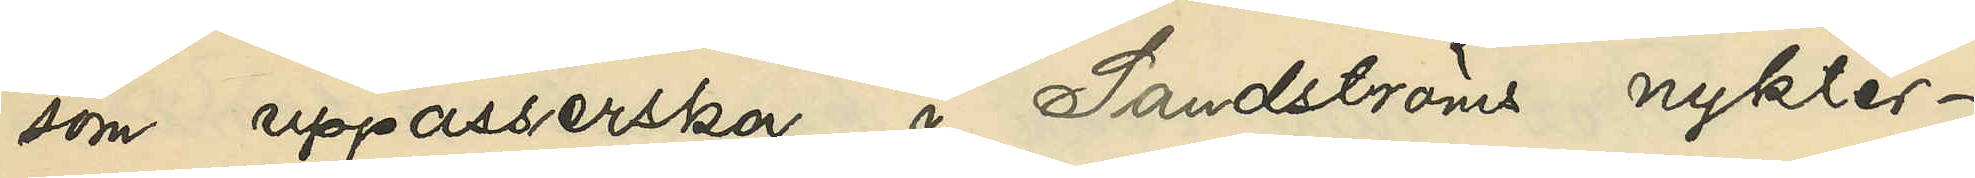som uppasserska i Sandströms nykter¬
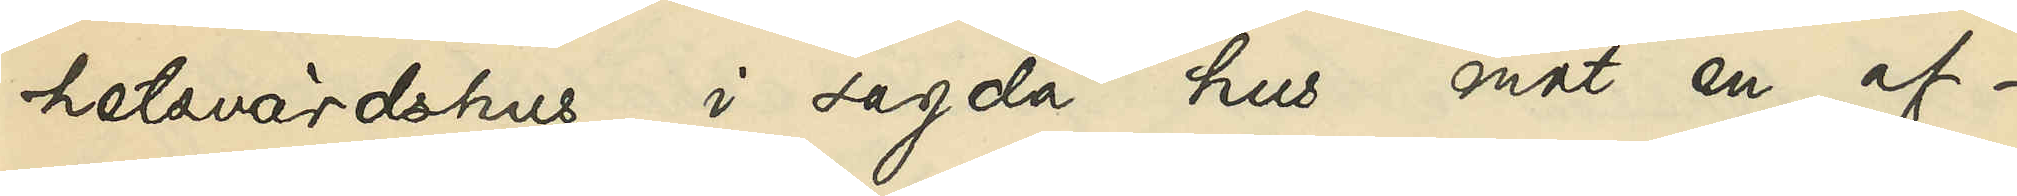hetsvärdshus i sagda hus mot en af¬
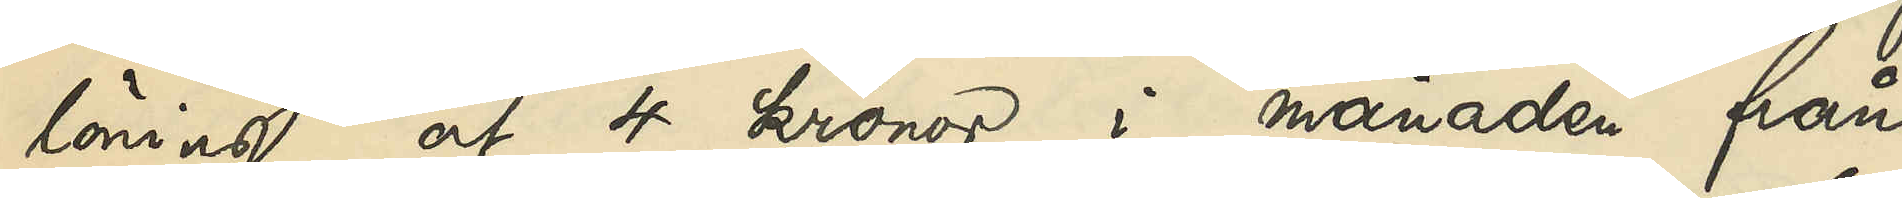löning af 4 kronor i månaden från
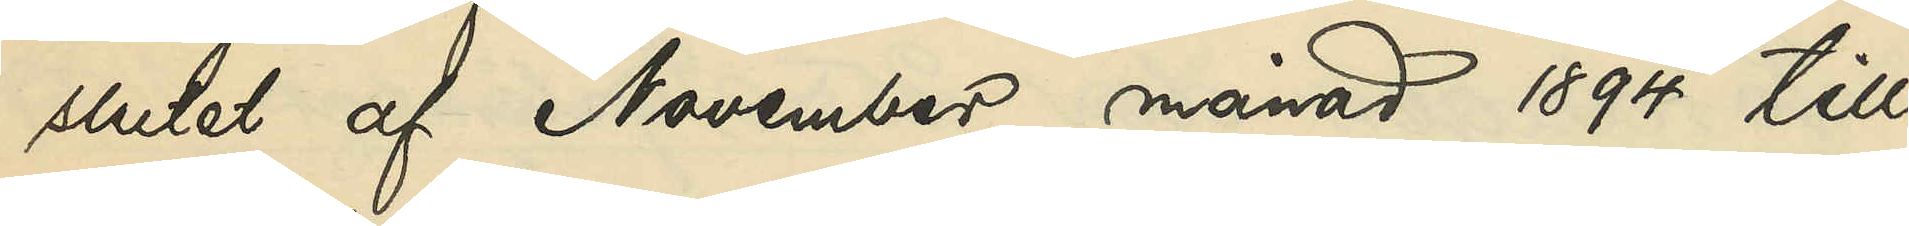slutet af November månad 1894 till
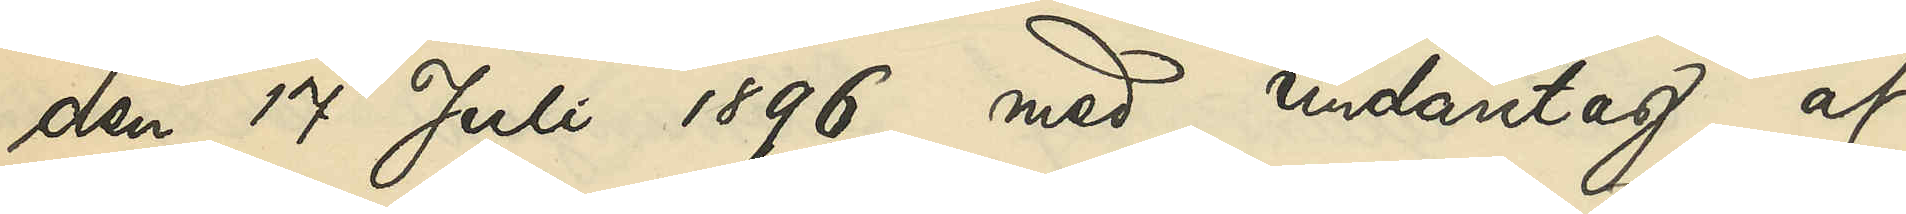den 17 Juli 1896 med undantag af
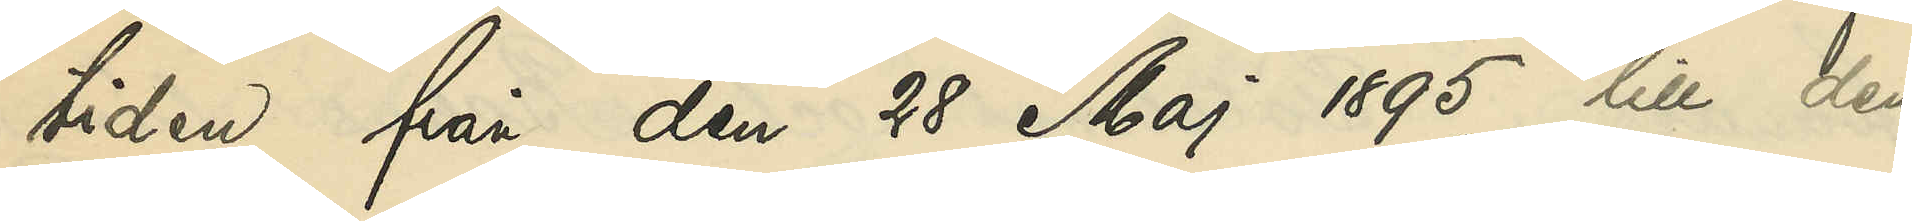tiden från den 28 Maj 1895 till den
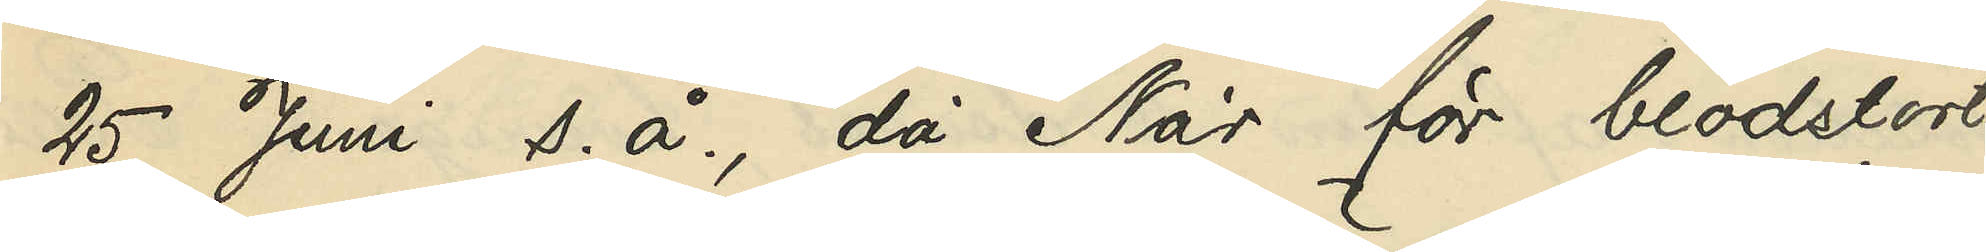25 Juni s. å., då När för blodstört¬
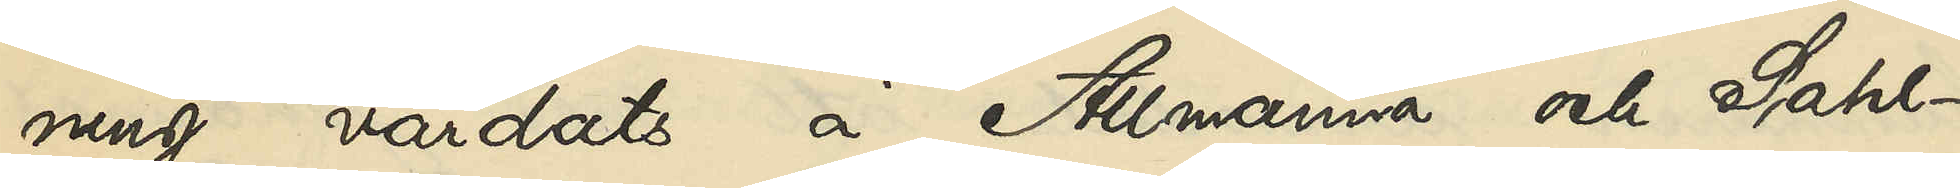ning vårdats å Allmänna och Sahl¬
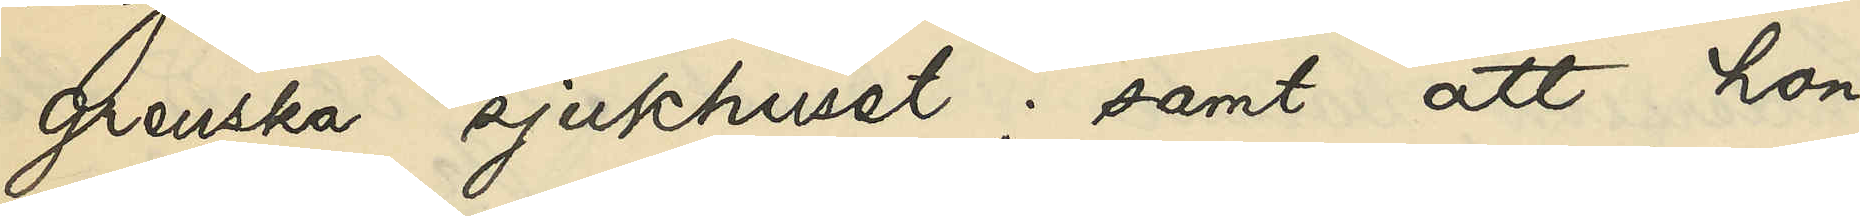grenska sjukhuset; samt att hon,
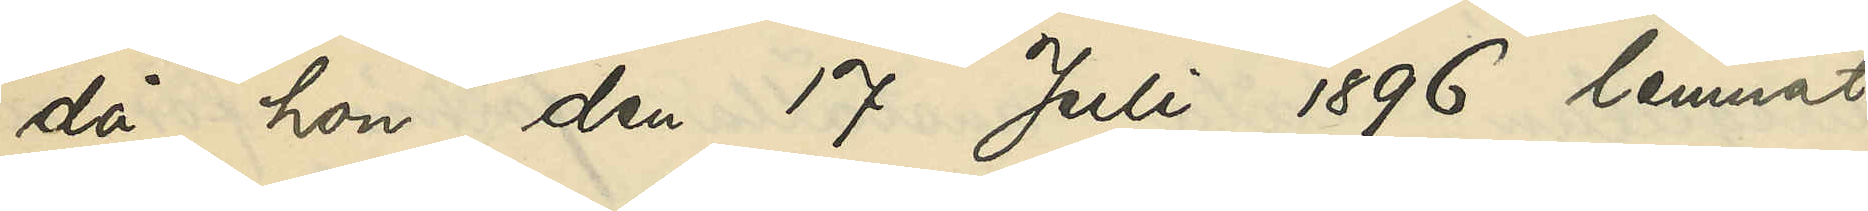då hon den 17 Juli 1896 lemnat
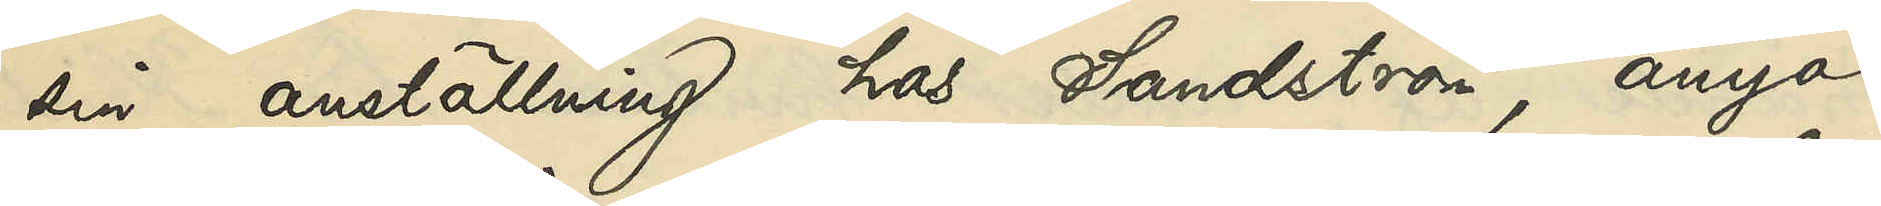sin anställning hos Sandström, ånyo
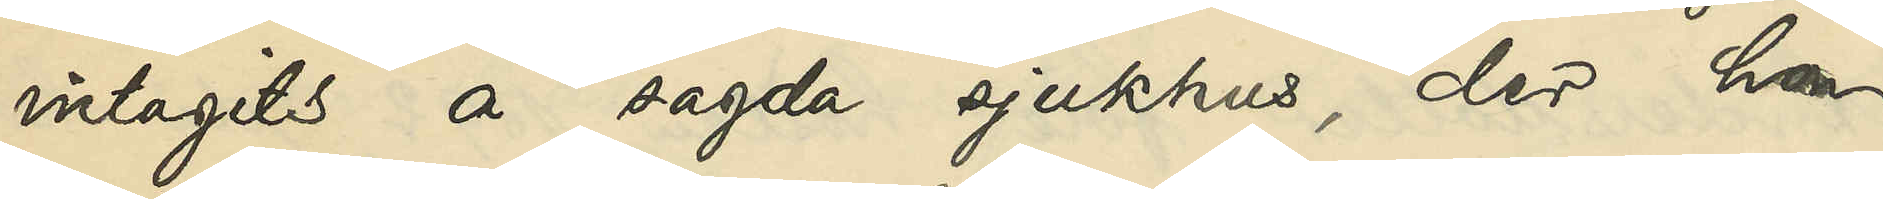intagits å sagda sjukhus, der hon
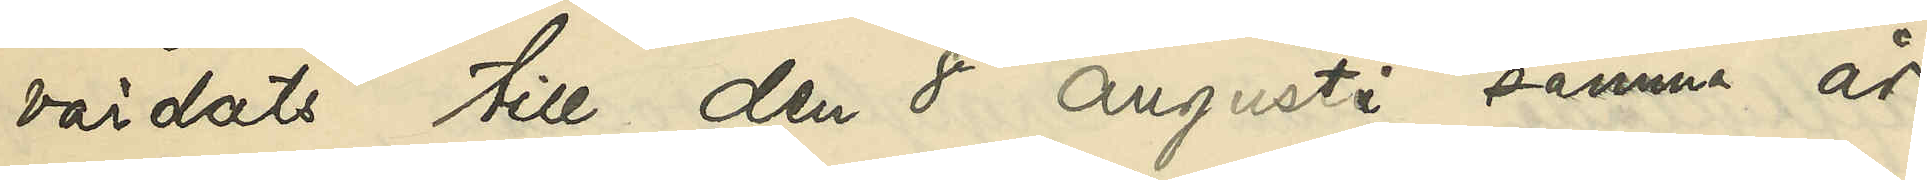vårdats till den 8 Augusti samma år.
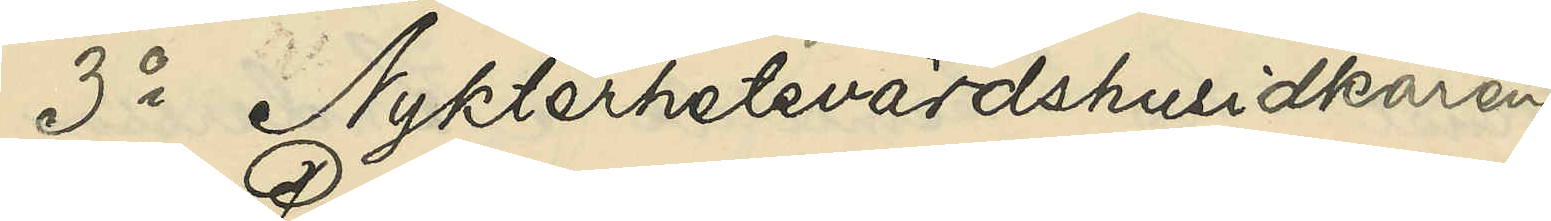3o Nykterhetsvärdshusidkaren
